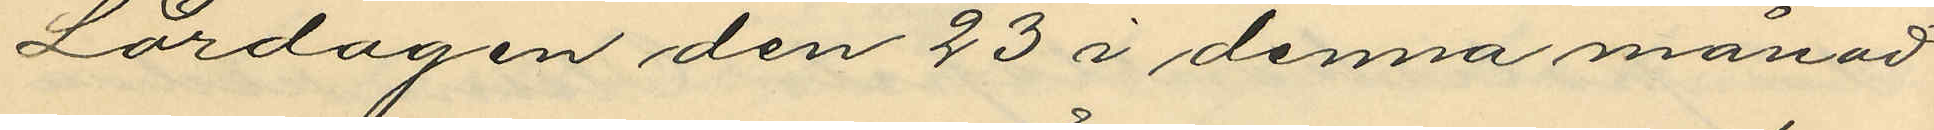Lördagen den 23 i denna månad
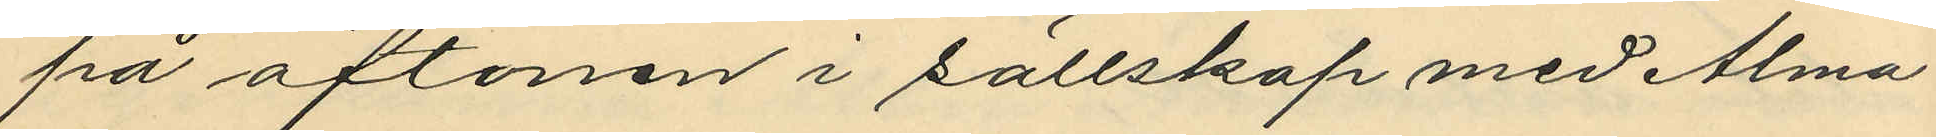på aftonen i sällskap med Alma
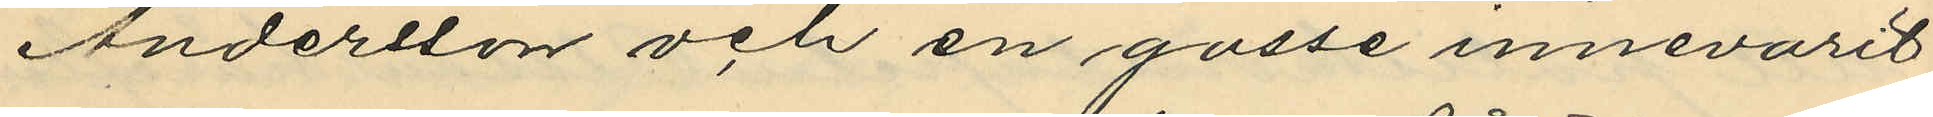Andersson och en gosse innevarit
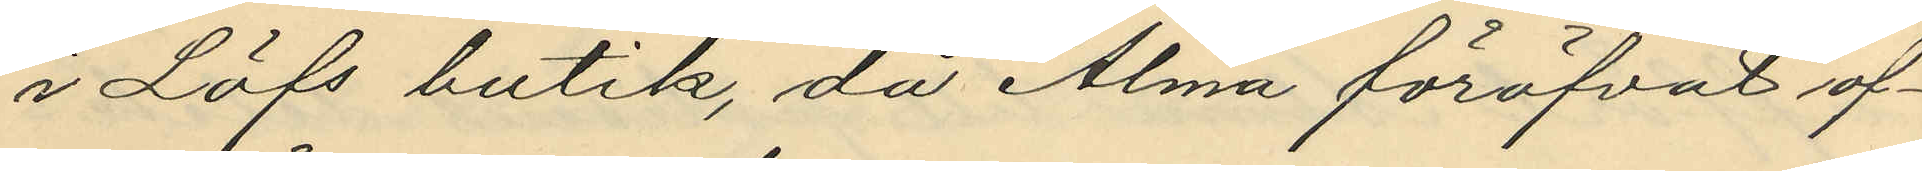i Löfs butik, då Alma föröfvat of¬
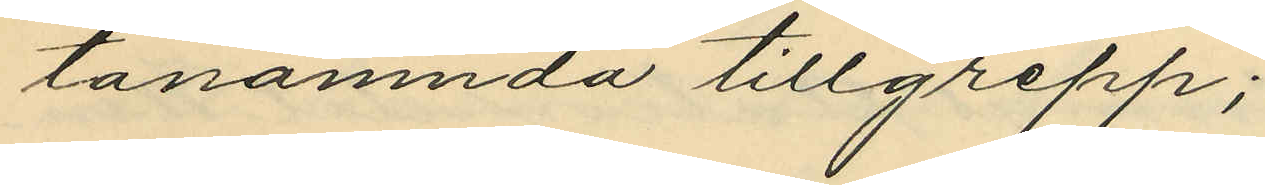tanämnda tillgrepp;
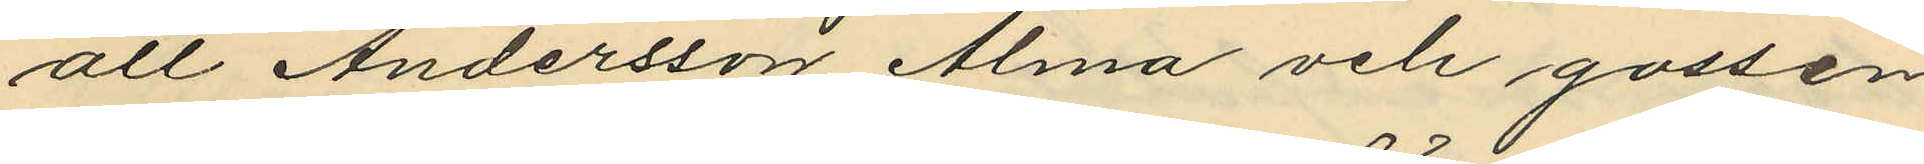att Andersson, Alma och gossen
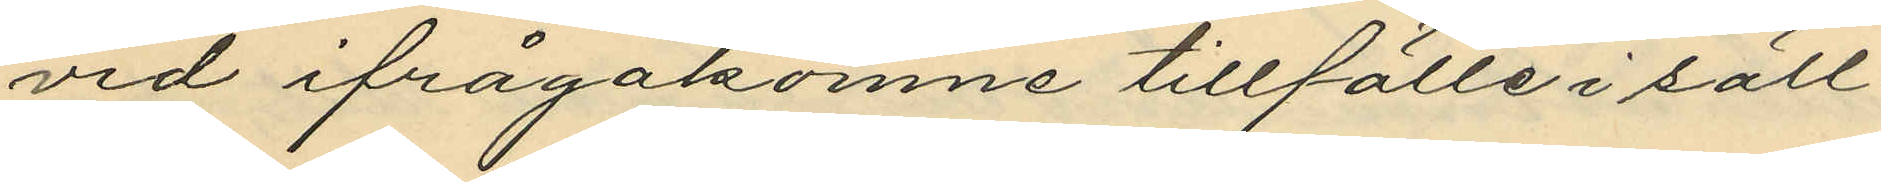vid ifrågakomne tillfälle i säll¬
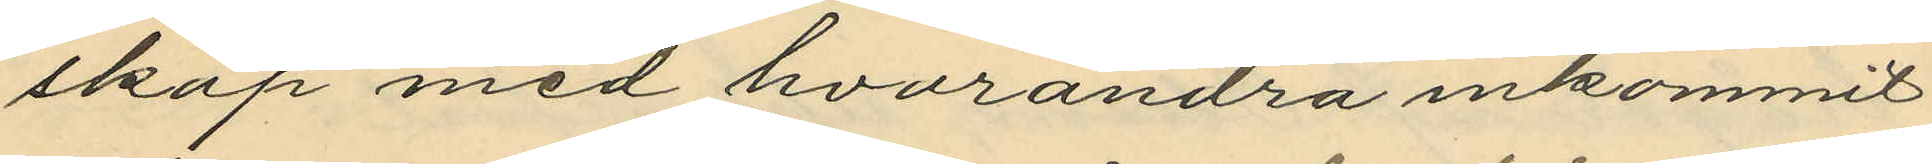skap med hvarandra inkommit
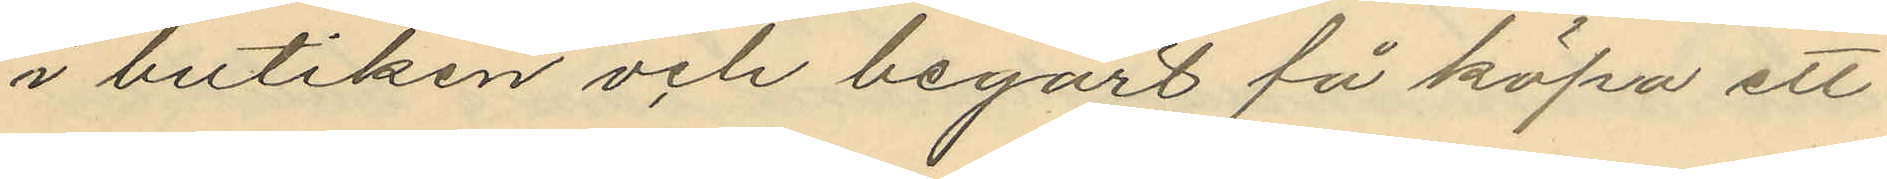i butiken och begärt få köpa ett
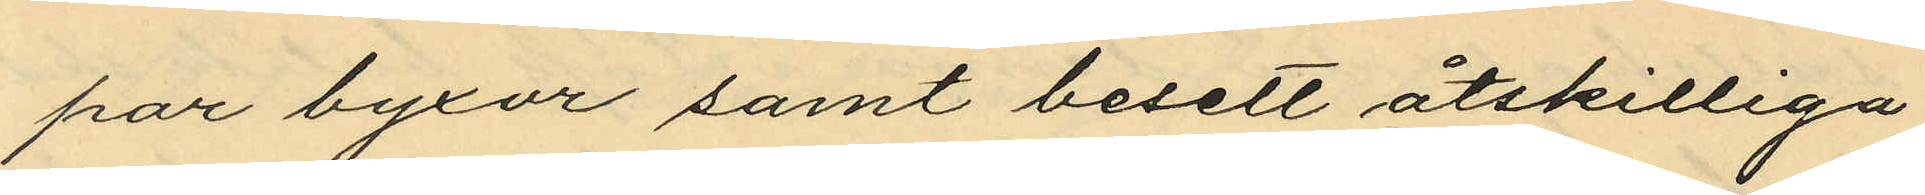par byxor samt besett åtskilliga
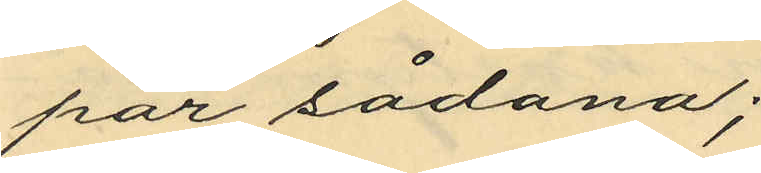par sådana;
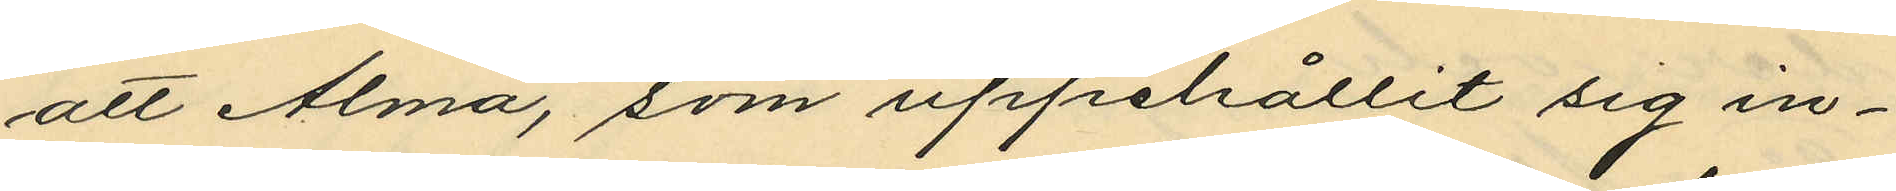att Alma, som uppehållit sig in¬
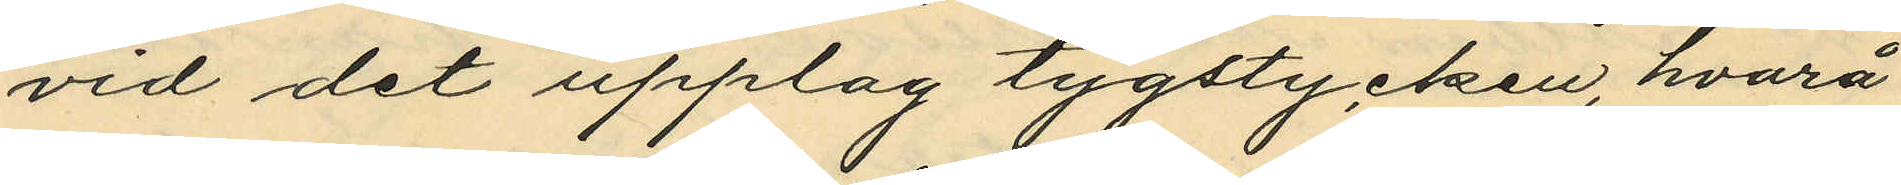vid det upplag tygstycken, hvarå
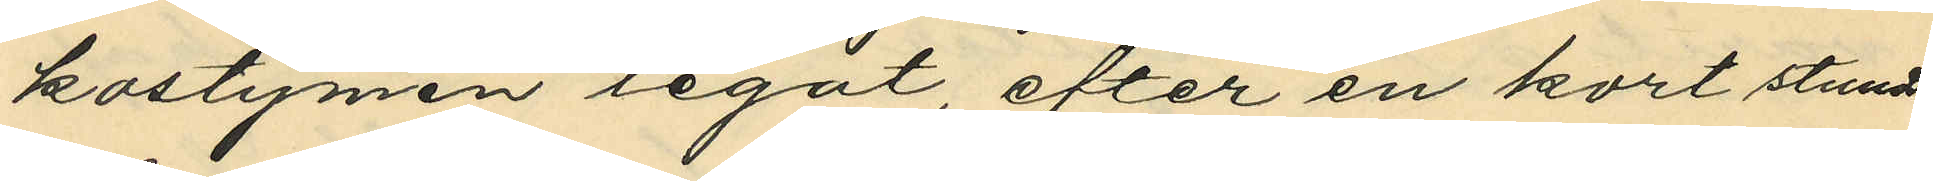kostymen legat, efter en kort stunds
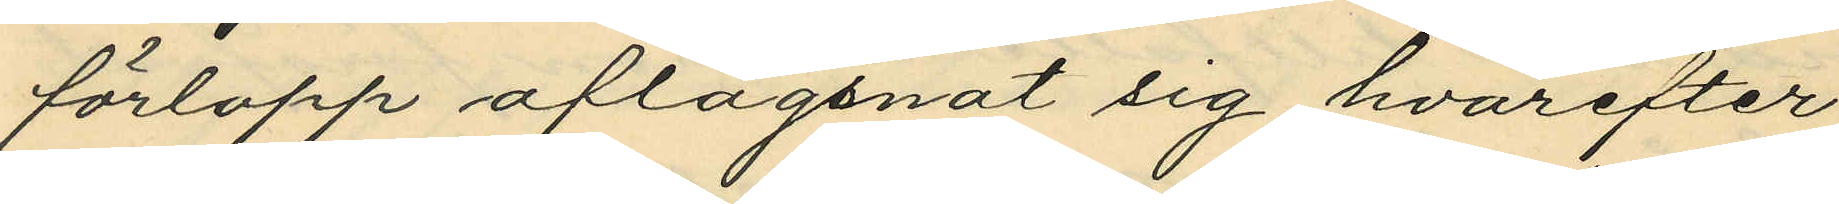förlopp aflägsnat sig, hvarefter
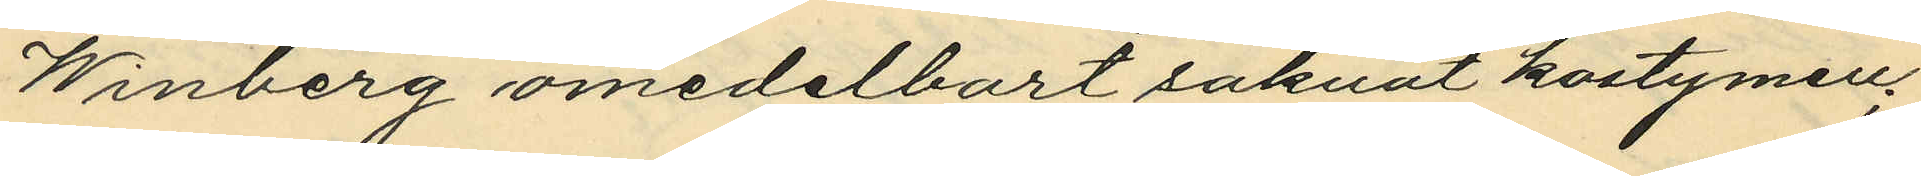Winberg omedelbart saknat kostymen;
